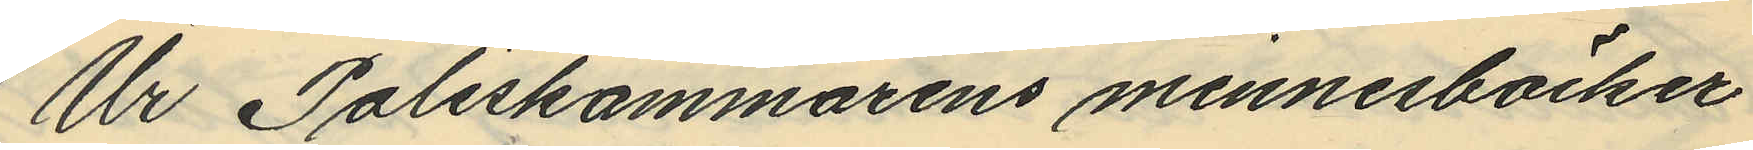Ur Poliskammarens minnesböcker
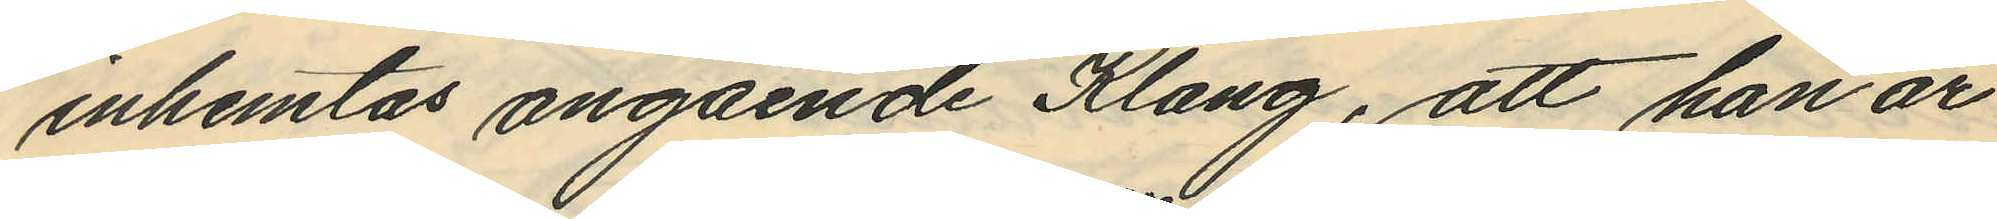inhemtas angående Klang, att han är
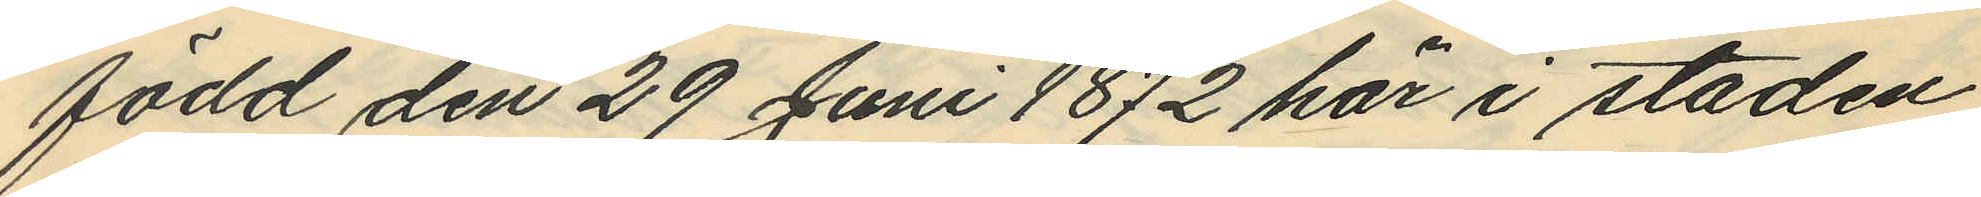född den 29 Juni 1872 här i staden
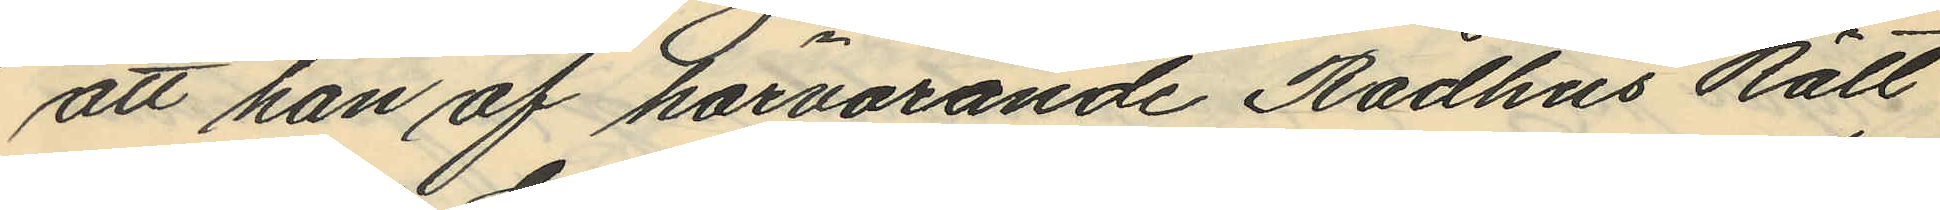att han af härvarande Rådhus Rätt
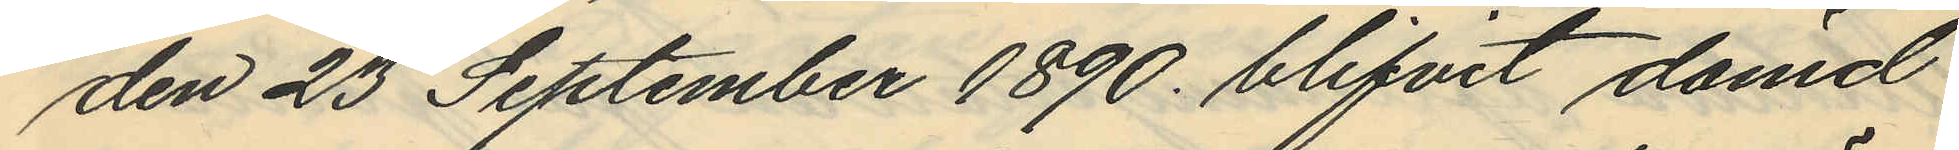den 23 September 1890 blifvit dömd
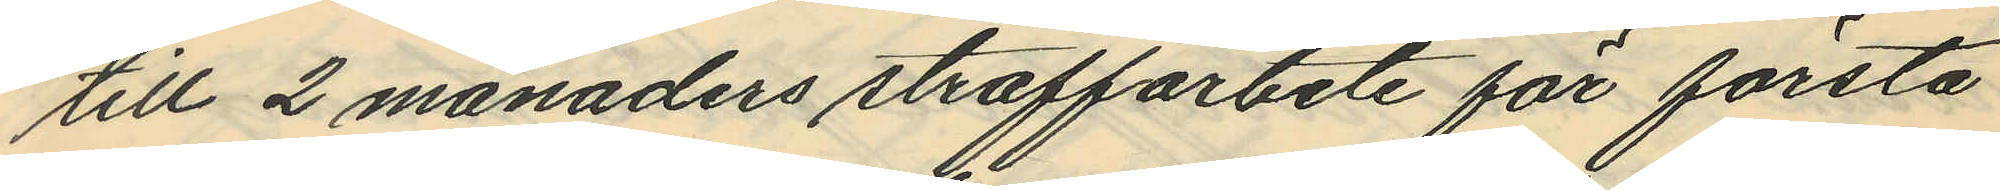till 2 månaders straffarbete för första
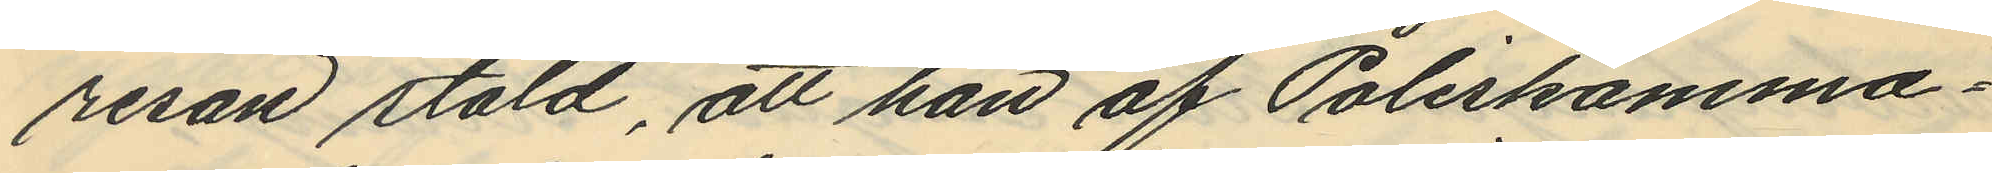resan stöld, att han af Poliskamma¬
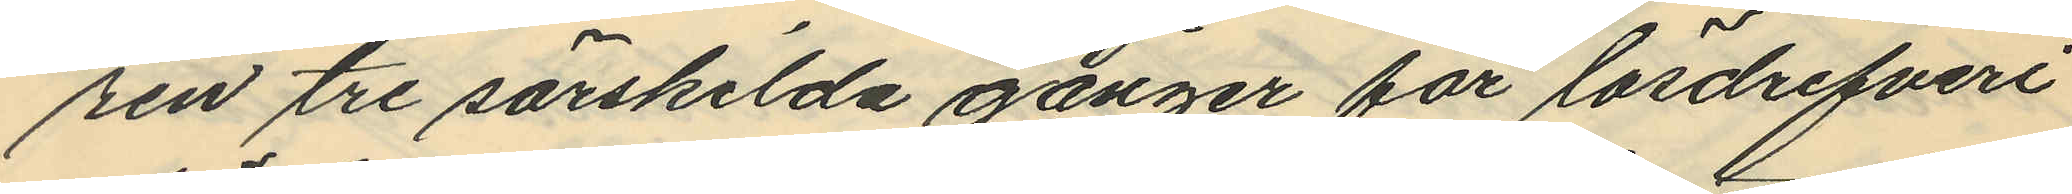ren tre särskilda gånger för lösdrifveri
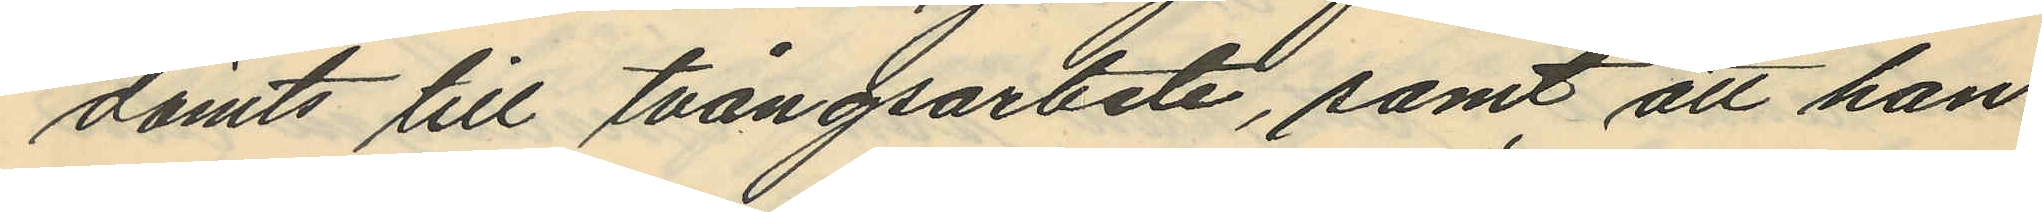dömts till tvångsarbete, samt att han
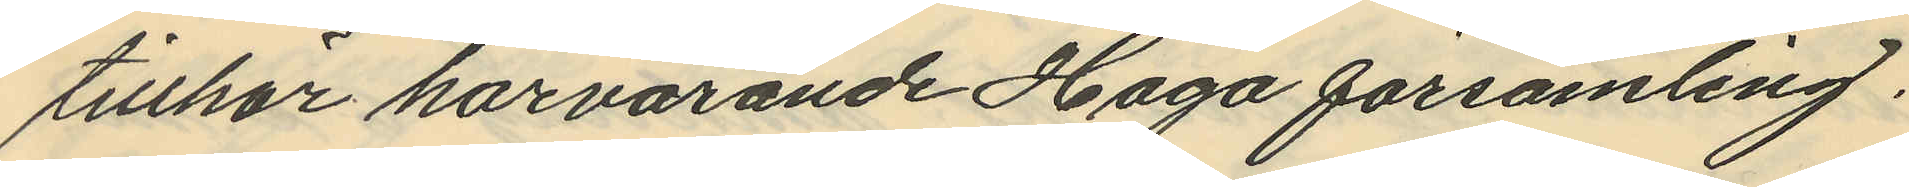tillhör härvarande Haga församling.
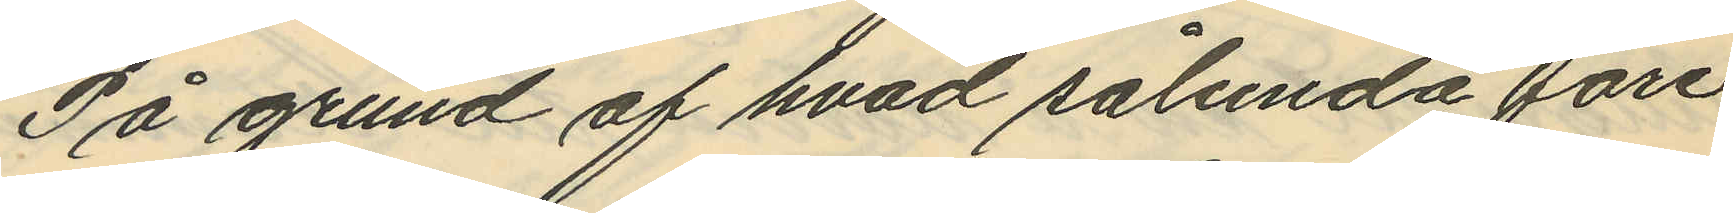På grund af hvad sålunda före
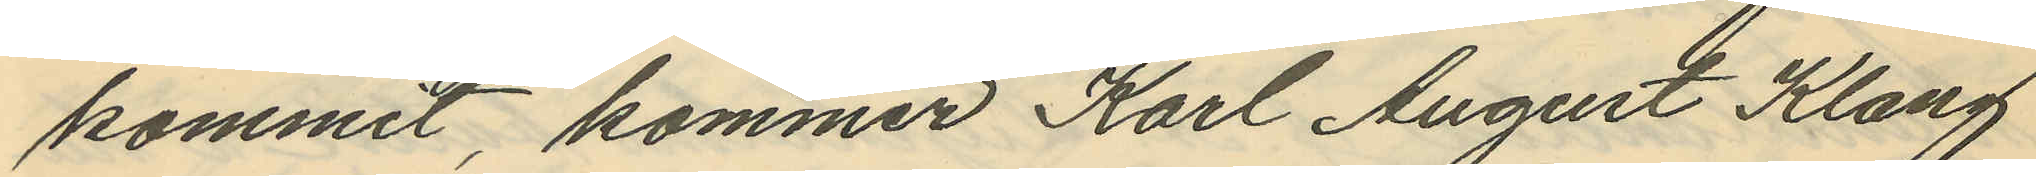kommit, kommer Karl August Klang
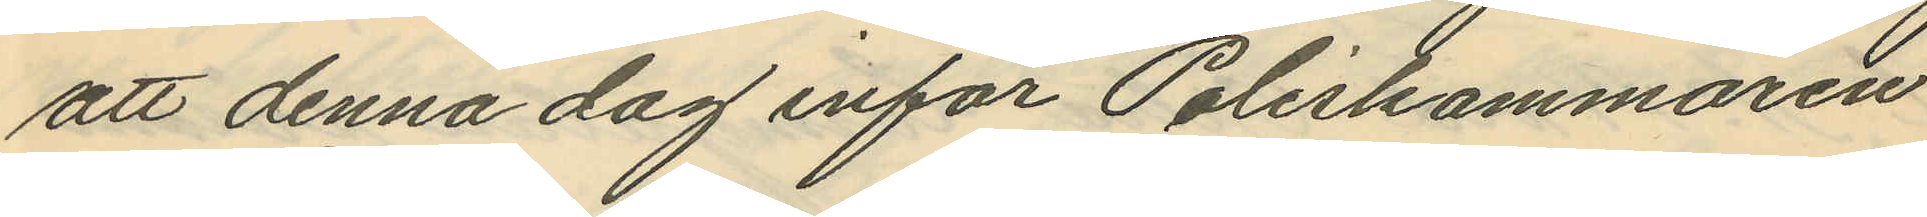att denna dag inför Poliskammaren
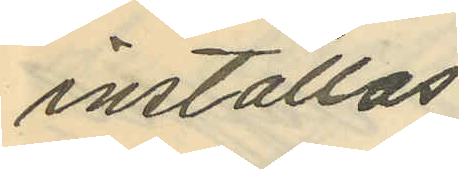inställas
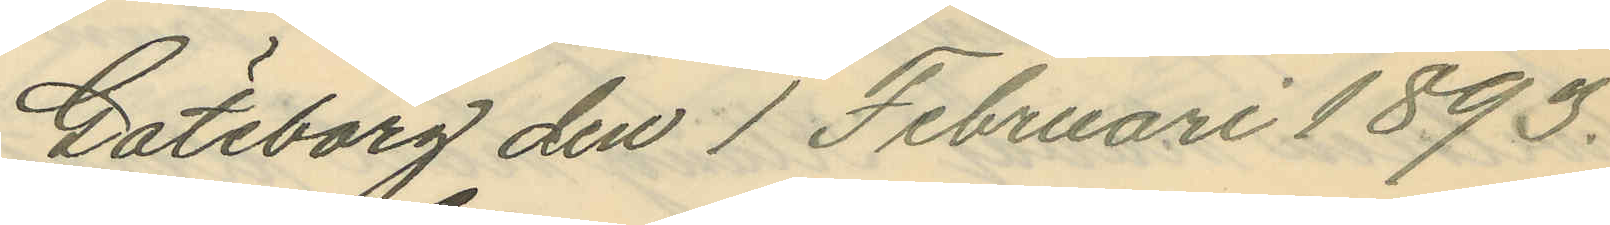Göteborg den 1 Februari 1893.
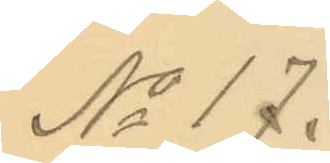No 17.
